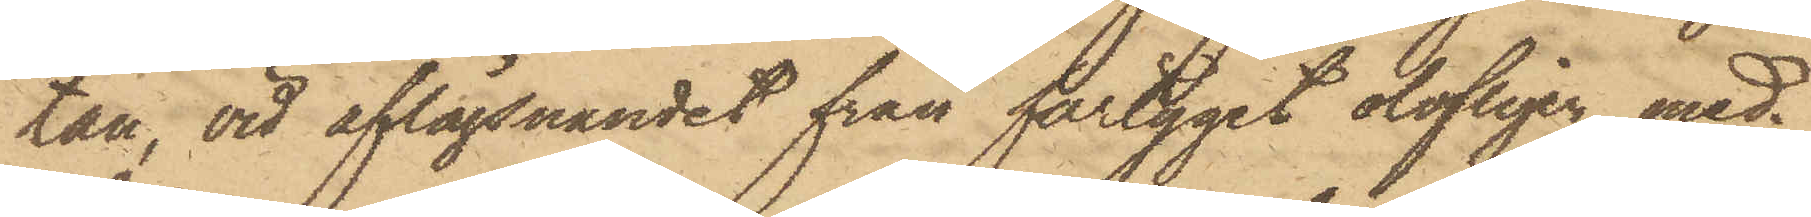tan, vid aflägsnandet från fartyget olofligen med¬
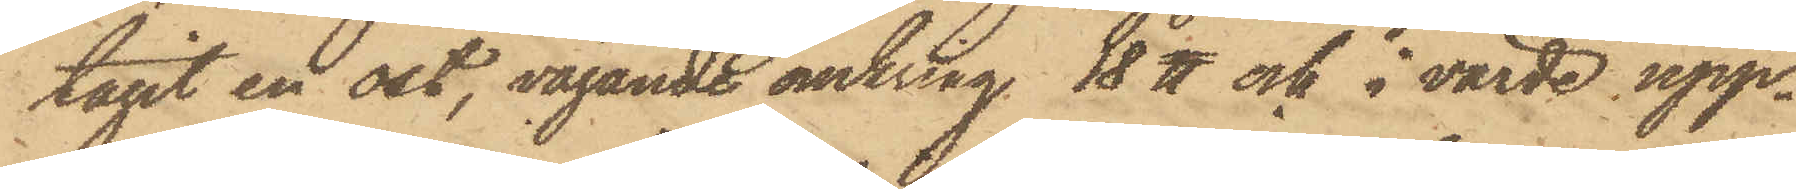tagit en ost, vägande omkring 18 ℔ och i värde upp¬
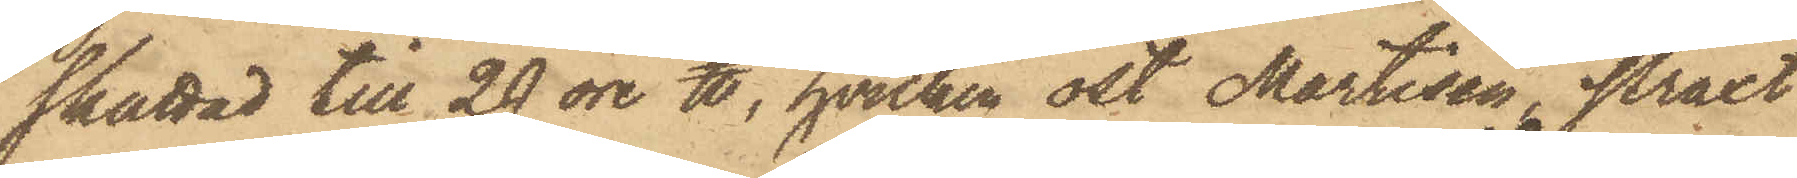skattad till 29 öre ℔, hvilken ost Martisen, straxt
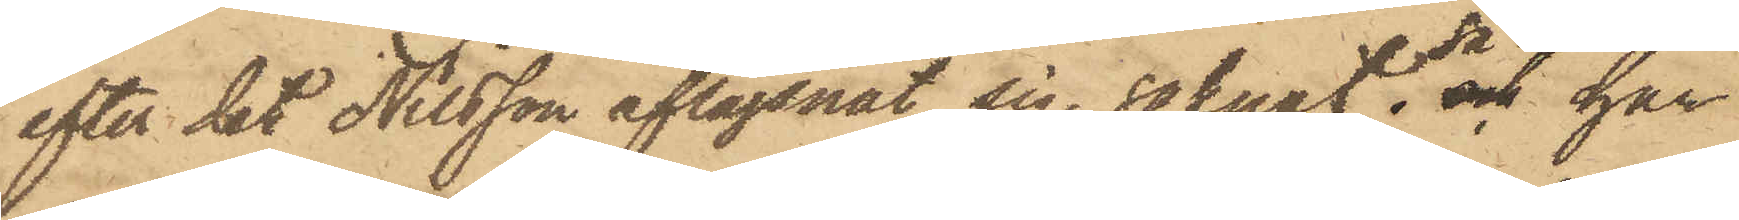efter det Nilsson aflägsnat sig, saknat; så och har
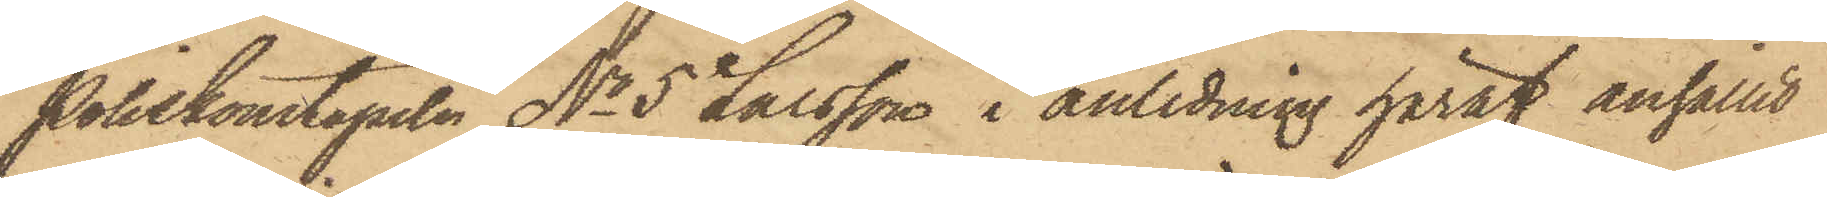Poliskonstapeln No 5 Larsson, i anledning häraf anhållit
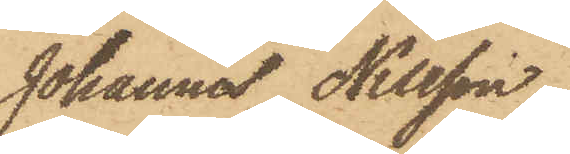Johannes Nilsson,
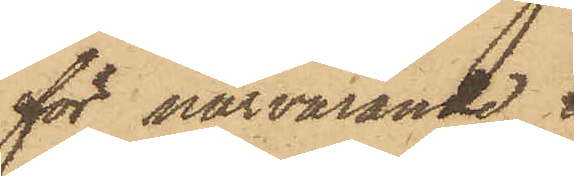för närvarande
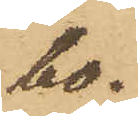bo¬
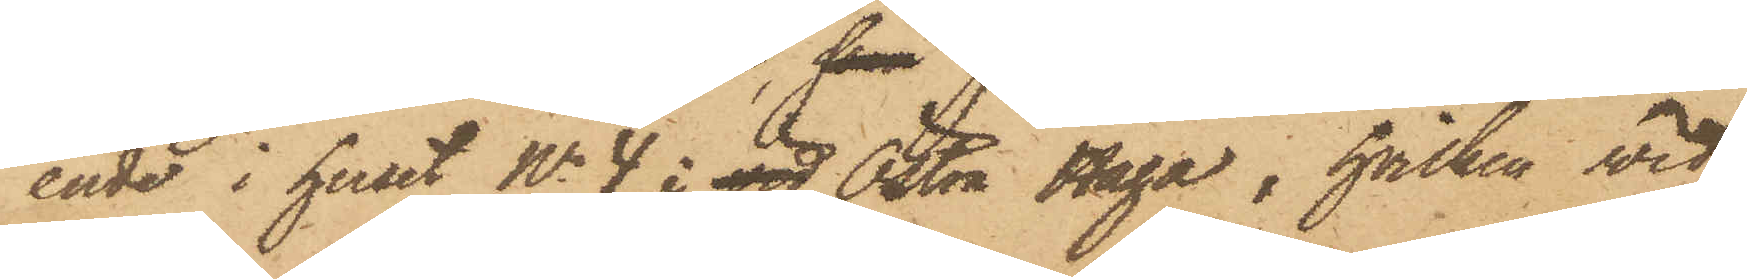ende i huset No 4 i vid Östra Haga, hvilken wid
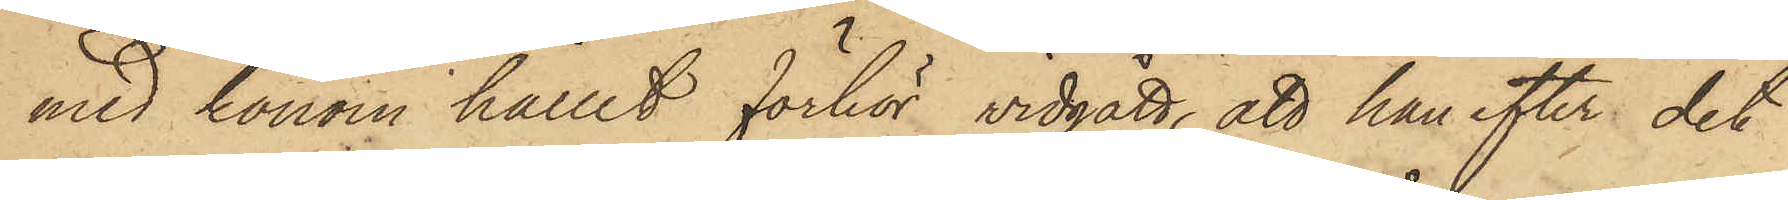med honom hållit förhör vidgått, att han efter det
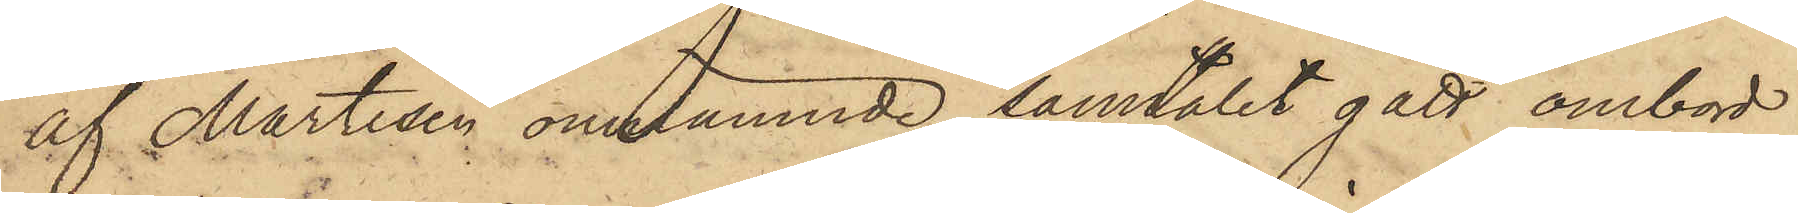af Martisen omnämnde samtalet gått ombord
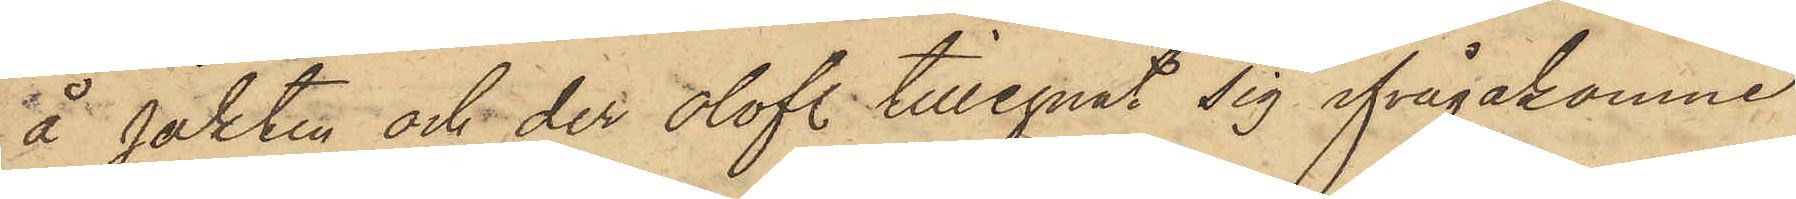å jakten och der olofl. tillegnat sig ifrågakomne
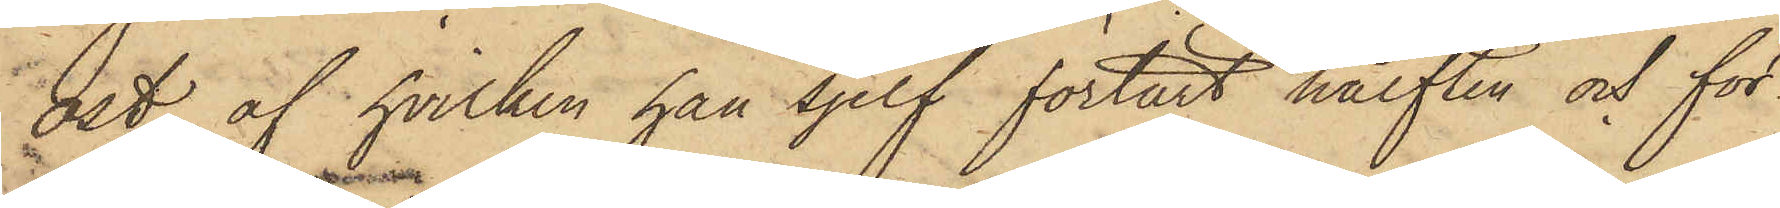ost, af hvilken han sjelf förtärt hälften och för¬
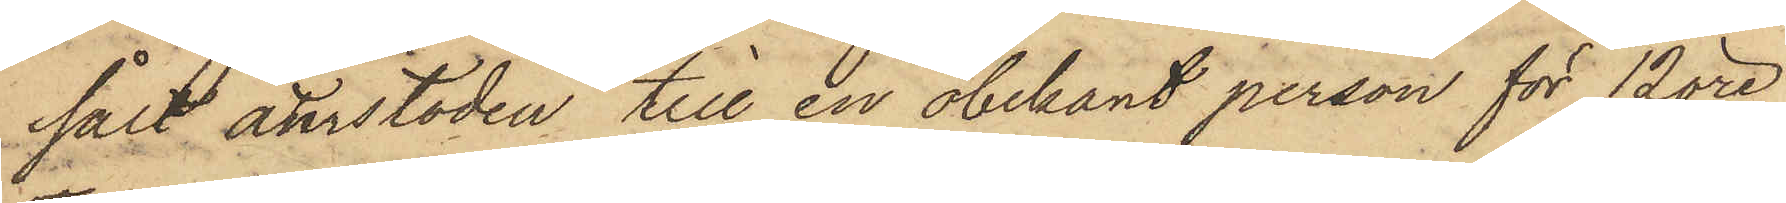sålt återstoden till en obekant person för 12 öre
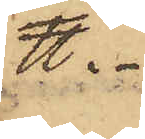℔.
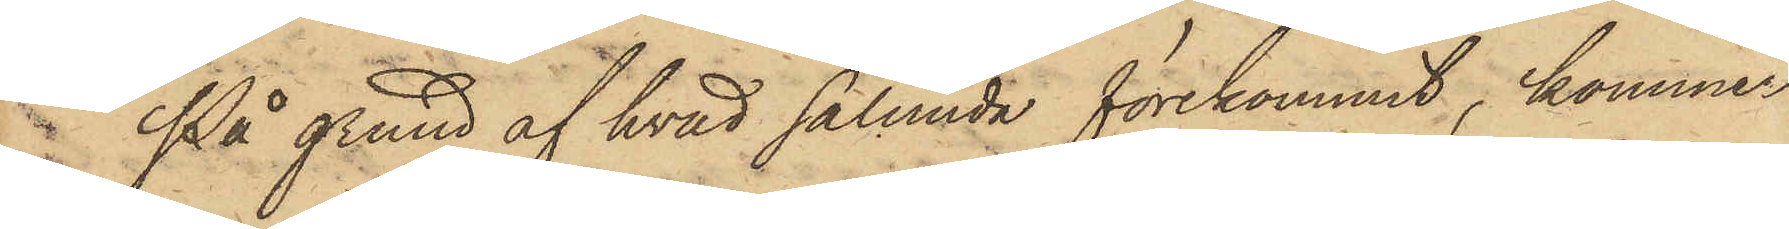På grund af hvad sålunda förekommit, kommer
